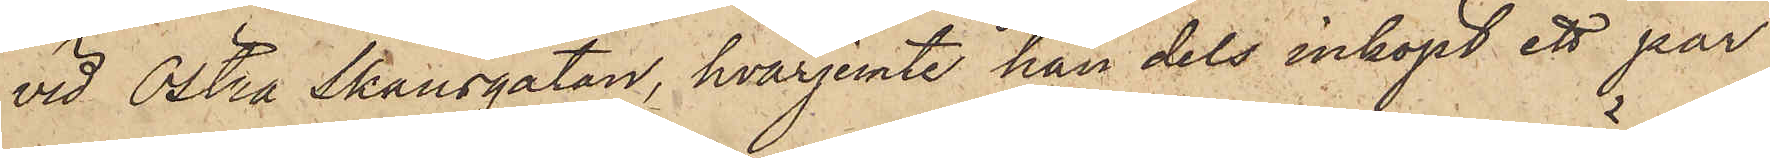vid Östra Skansgatan, hvarjemte han dels inköpt ett par
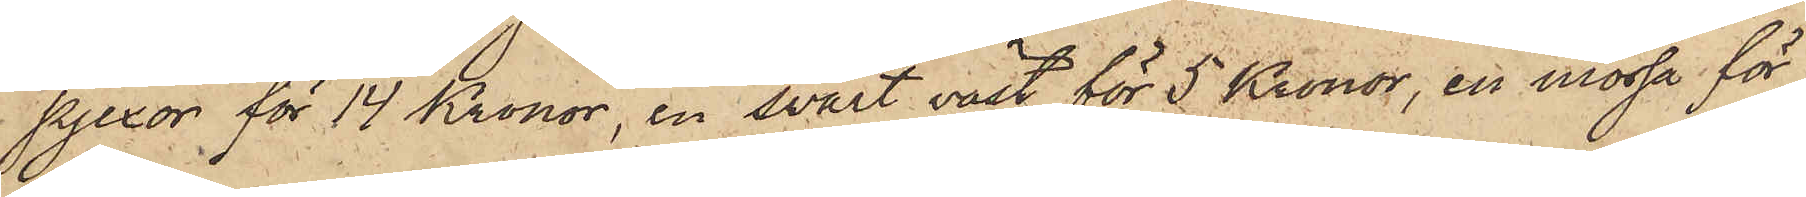pjexor för 14 Kronor, en svart väst för 5 Kronor, en mössa för
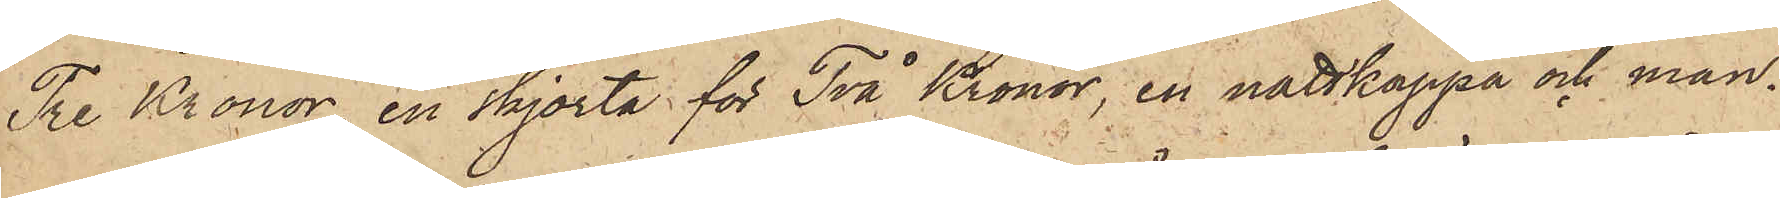Tre Kronor, en skjorta för Två Kronor, en nattkappa och man¬
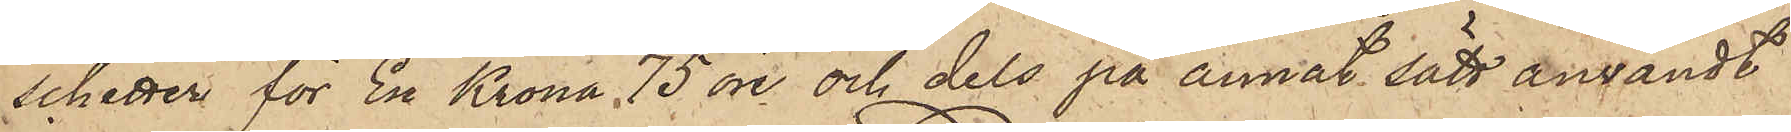schetter för En Krona 75 öre och dels på annat sätt användt
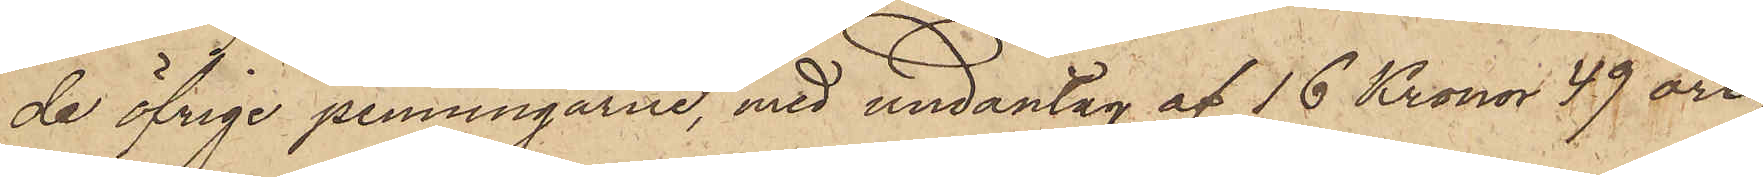de öfrige penningarne, med undantag af 16 Kronor 49 öre,
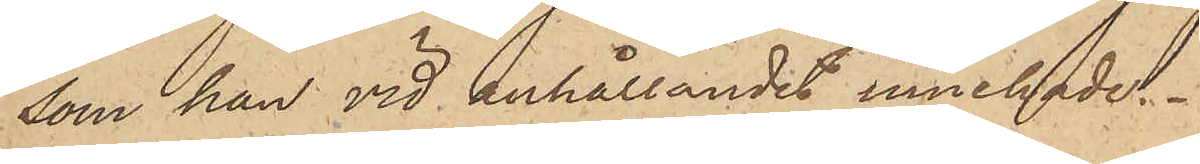som han vid anhållandet innehade.
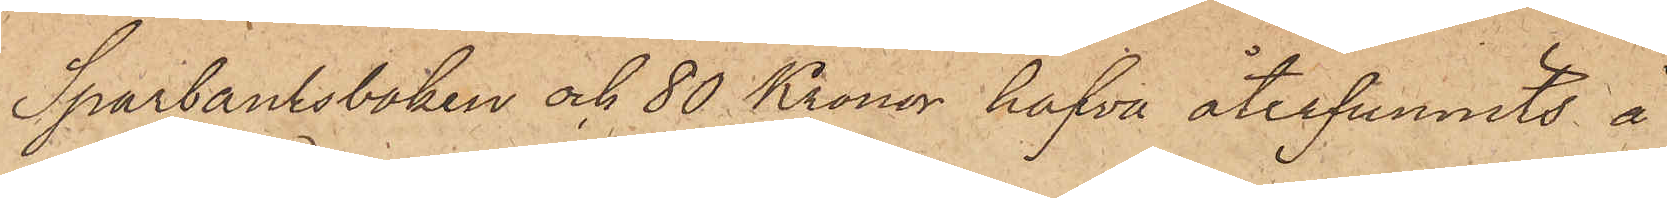Sparbanksboken och 80 Kronor hafva återfunnits å
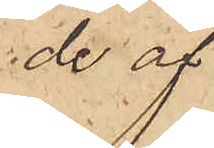de af
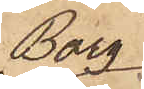Borg
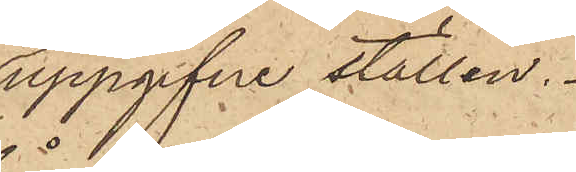uppgifne ställen.
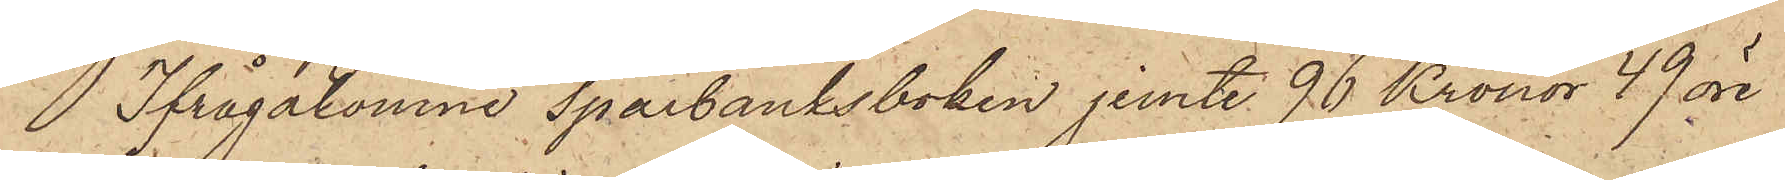Ifrågakomne Sparbanksboken jemte 96 Kronor 49 öre
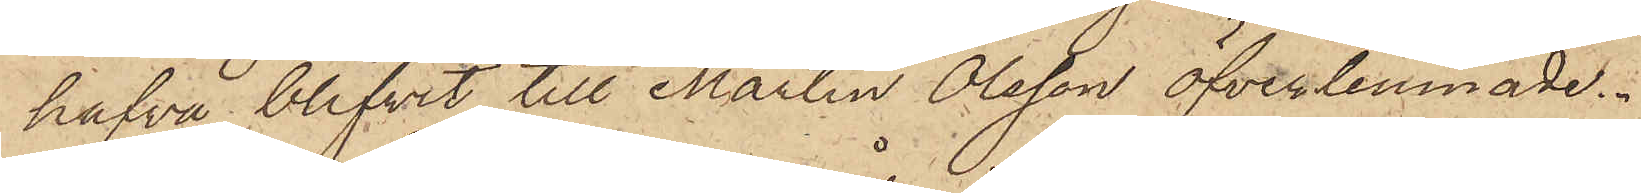hafva blifvit till Martin Olsson öfverlemnade.
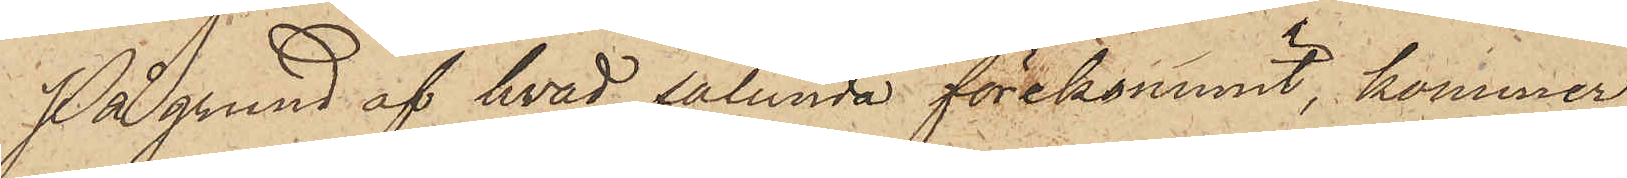På grund af hvad sålunda förekommit, kommer
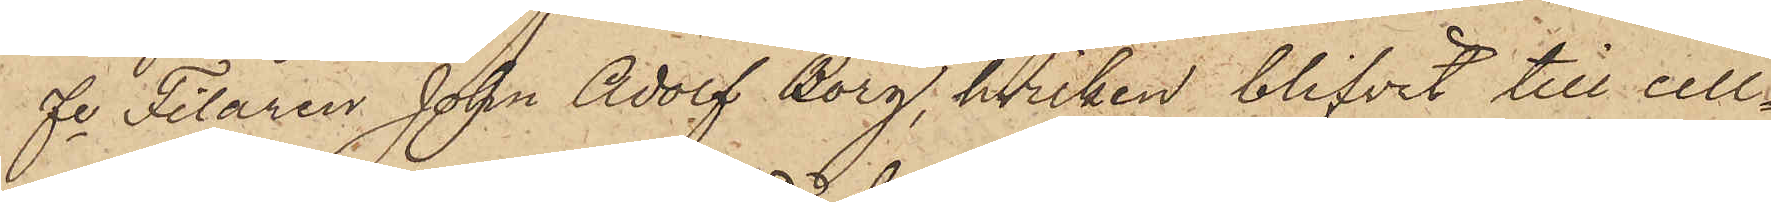fe filaren John Adolf Borg, hvilken blifvit till cell¬
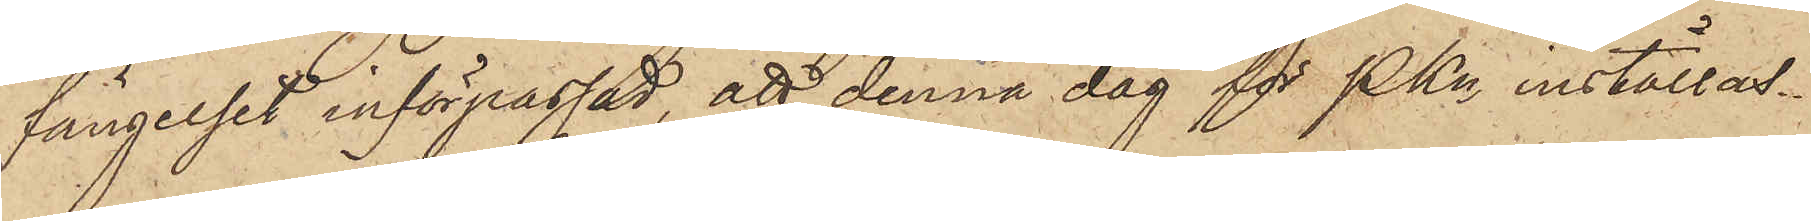fängelset införpassad, att denna dag för PKn inställas.
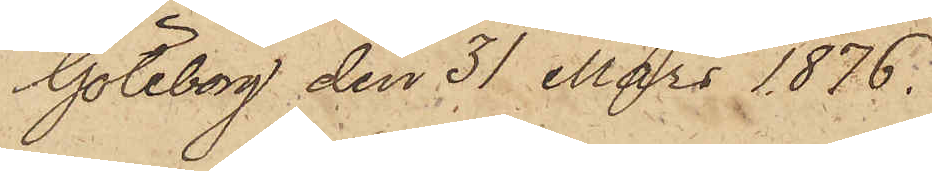Göteborg den 31 Mars 1876.
